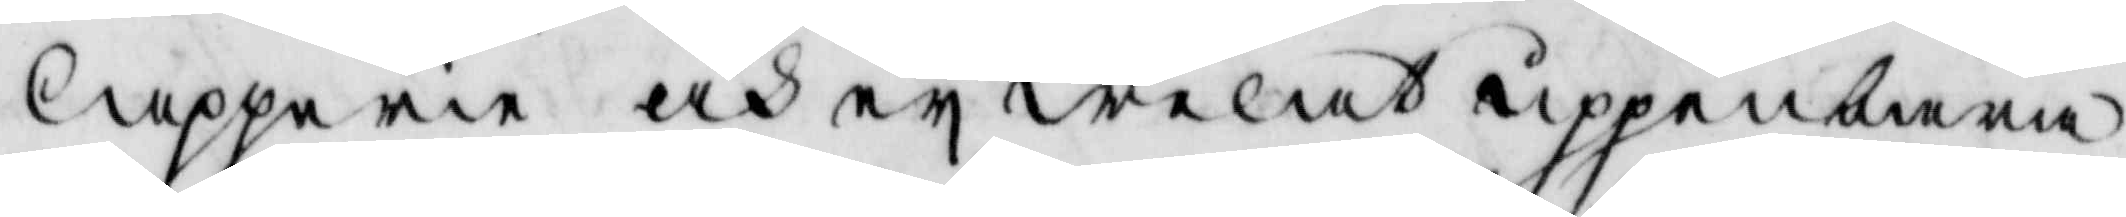lapperie och ey welat uppenbara
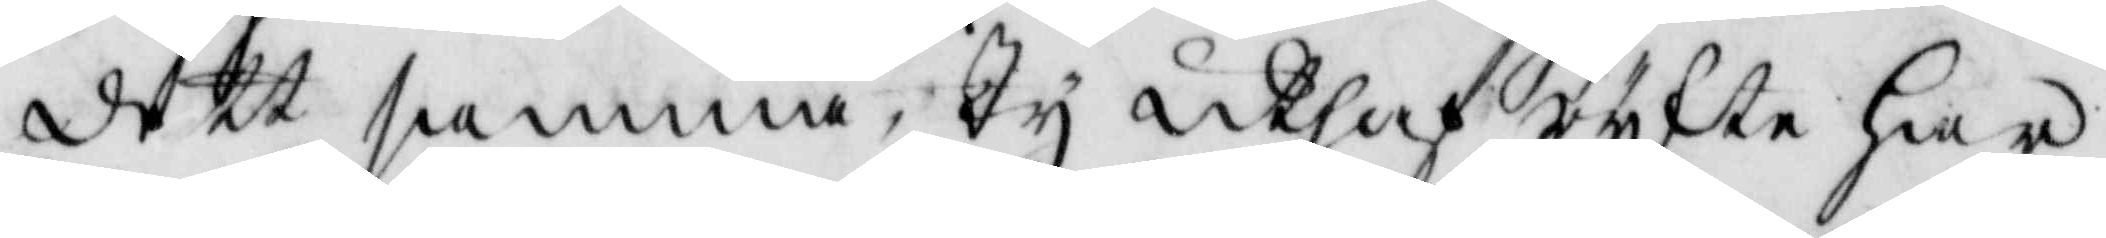dett samma, Ty uthaf rykte har
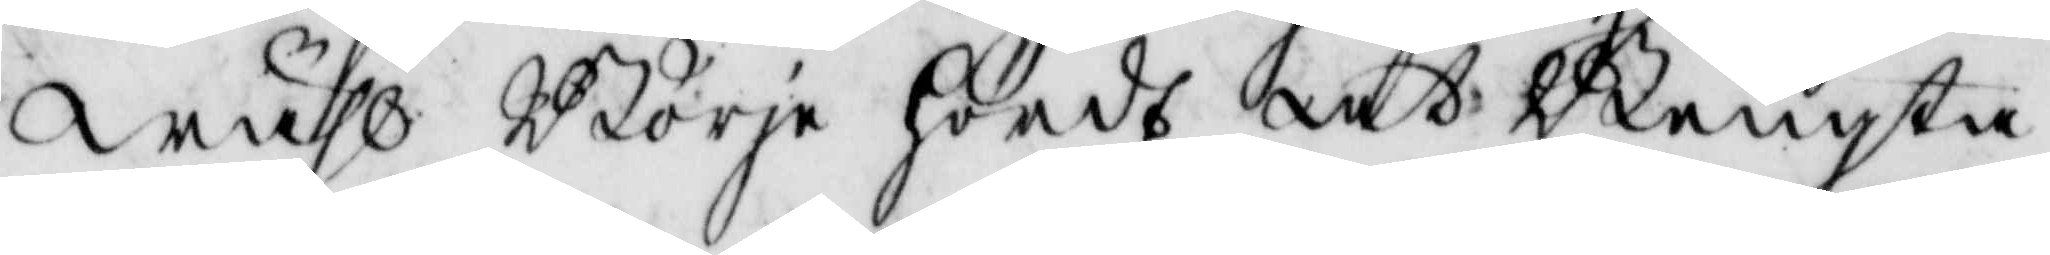wähl Börje hördt at Bengta
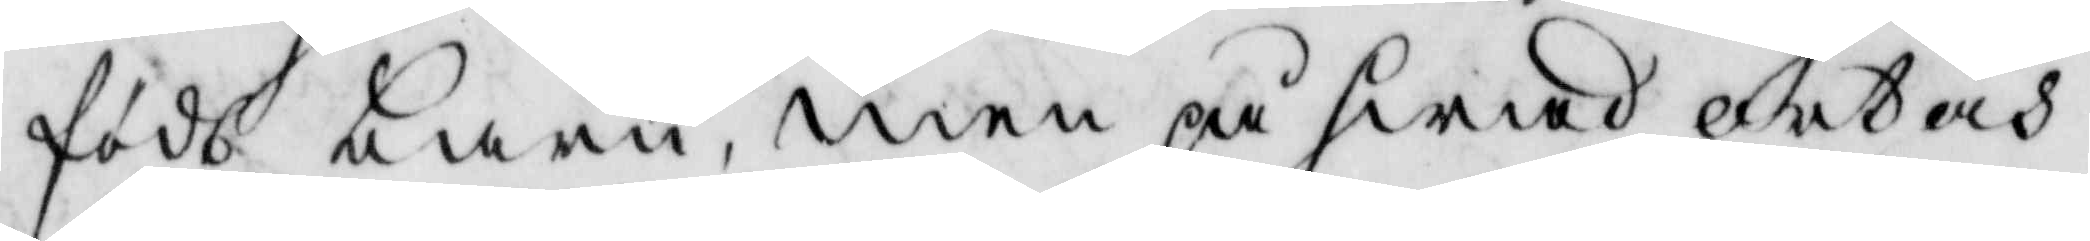födt barn, men på hwad ortens
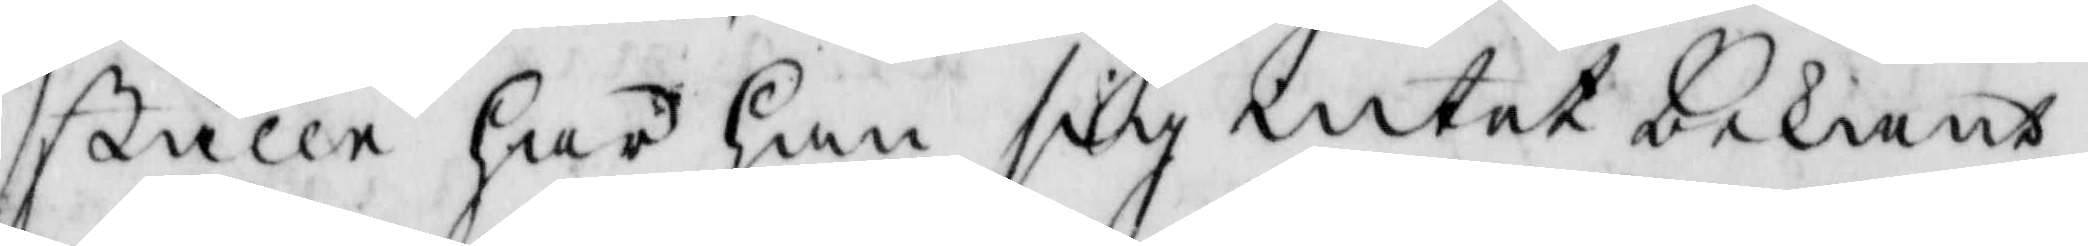ställe har han sig intet bekandt
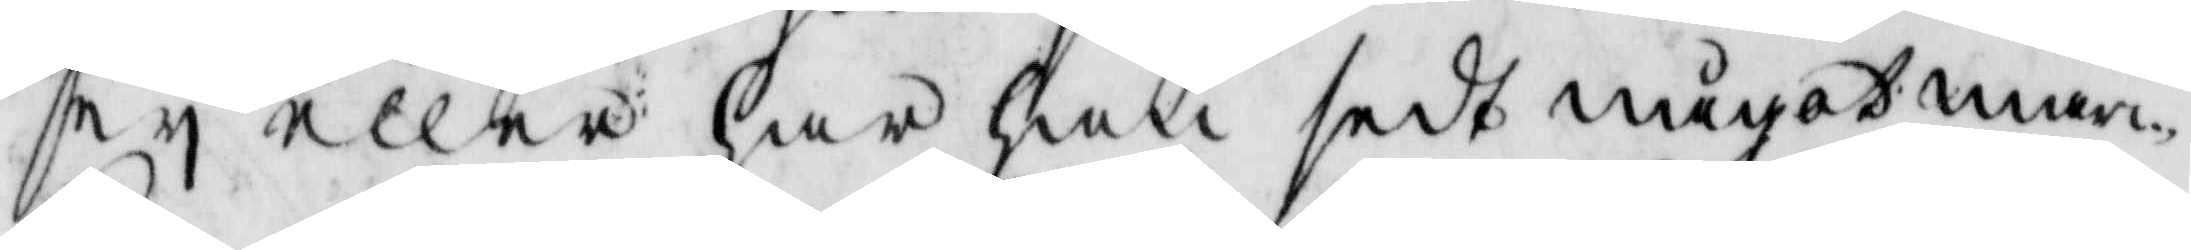ey eller har han sedt något mär¬
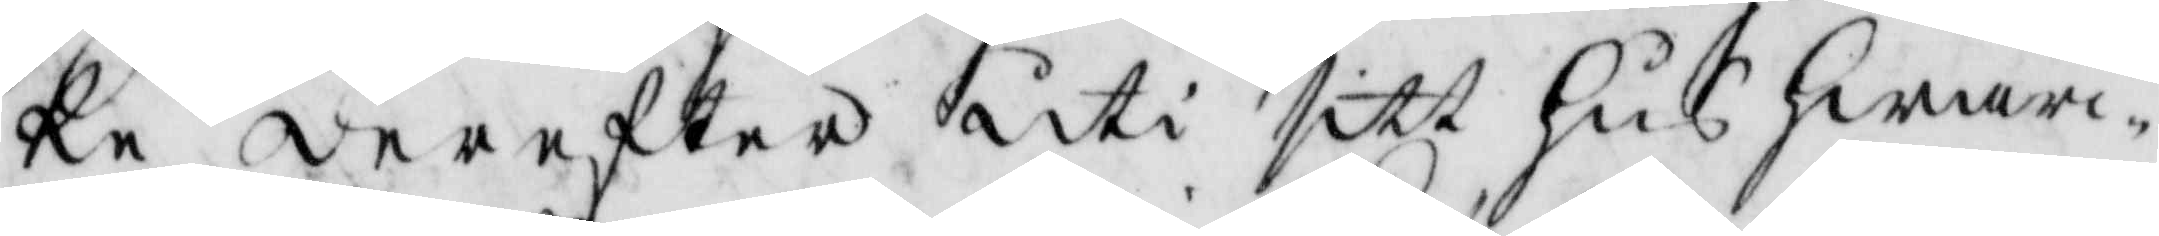ke derstedes uti sitt hus hwar¬
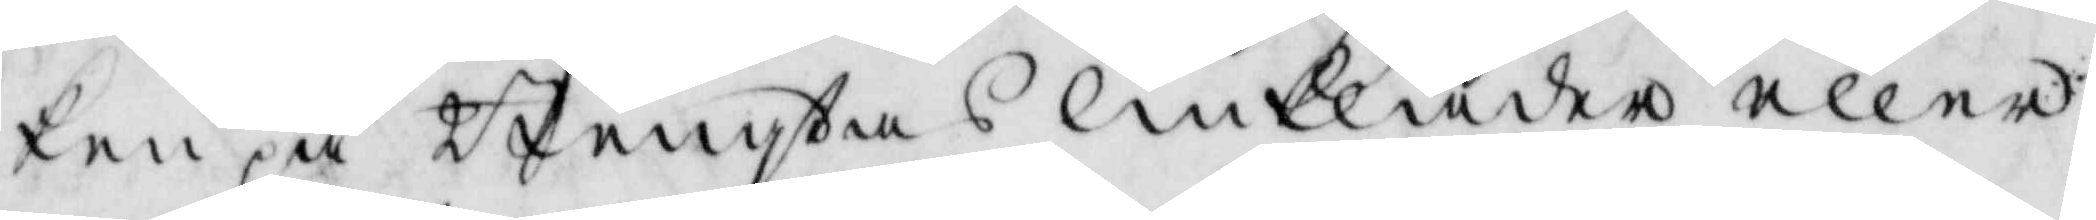ken på Bengtas linkläder eller
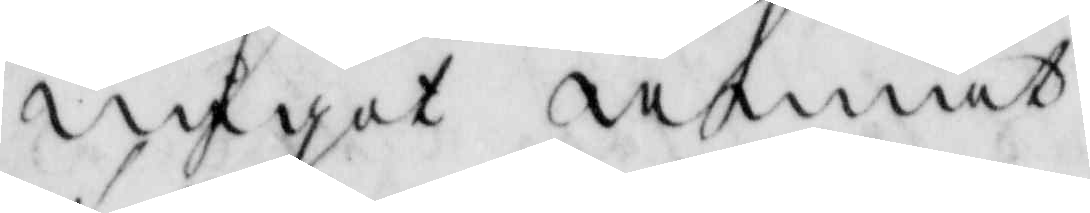något annat
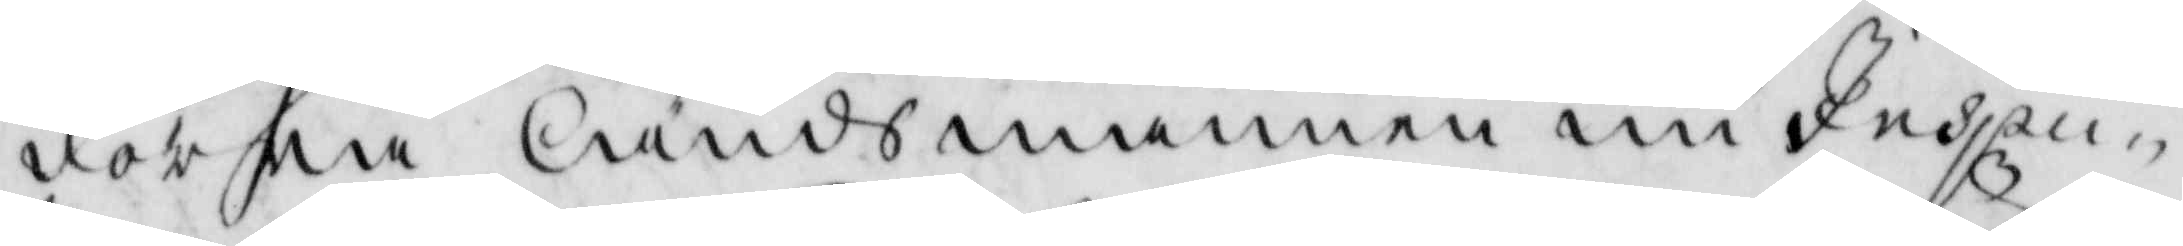forna ländsmannen nu Inspec¬
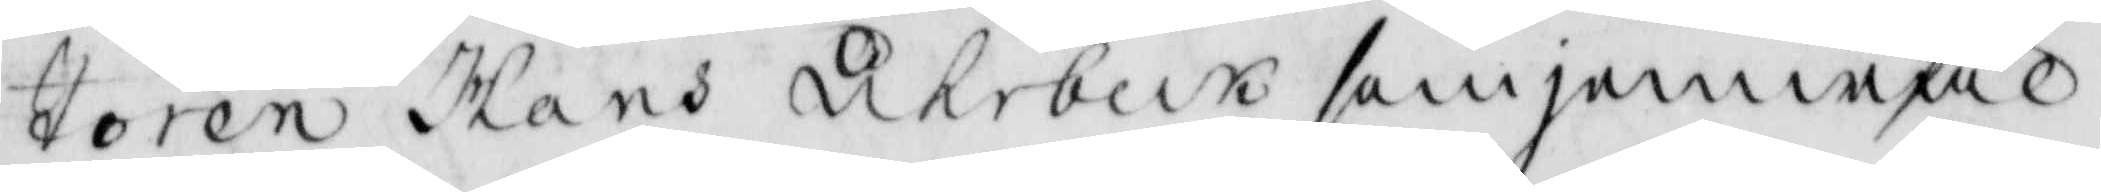toren Hans ukebeck som jemwäl
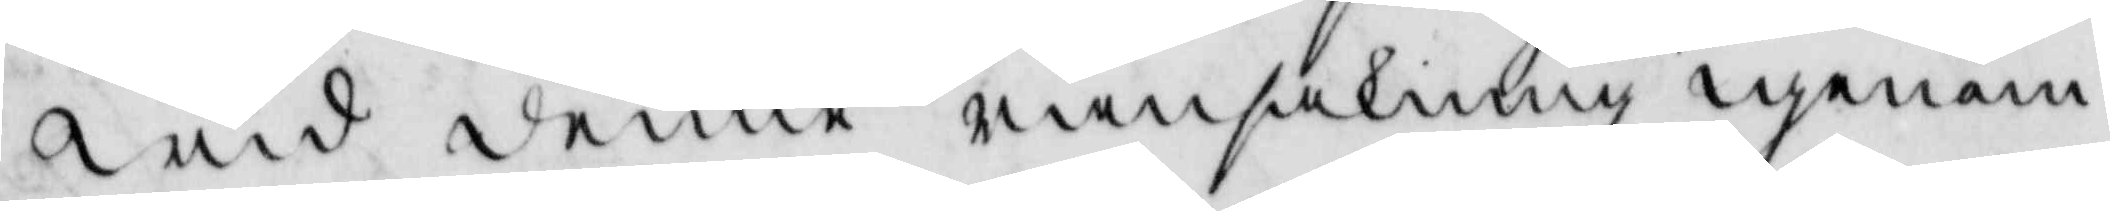wid denne ransakning igenom
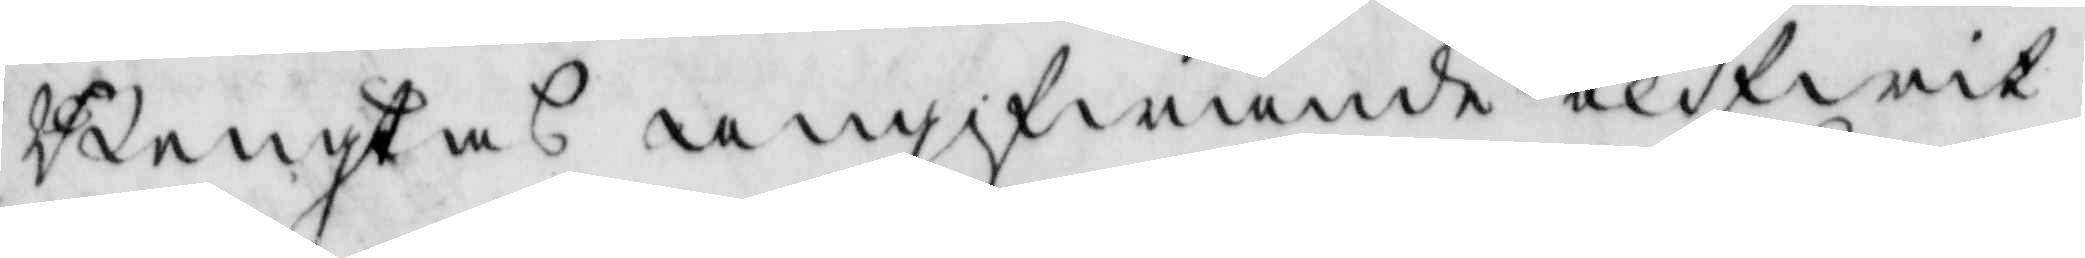Bengtas angifwande blifwit
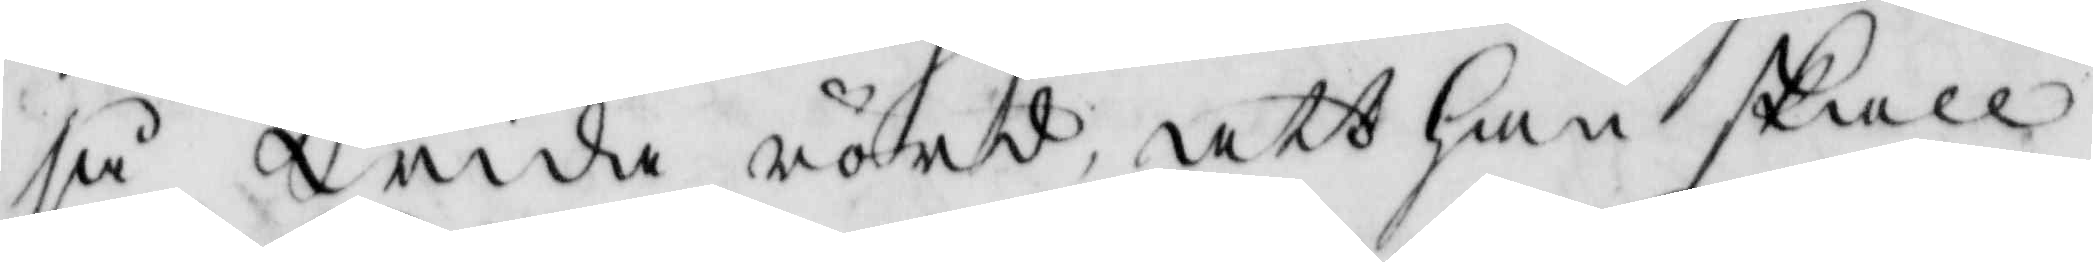så wida rörd, att han skall
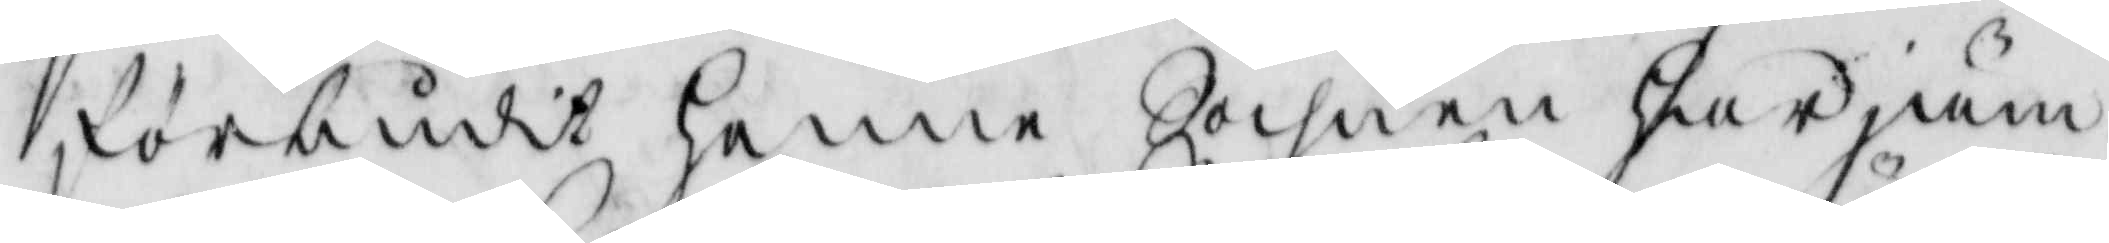förbudit henne sochnen har jiäm¬
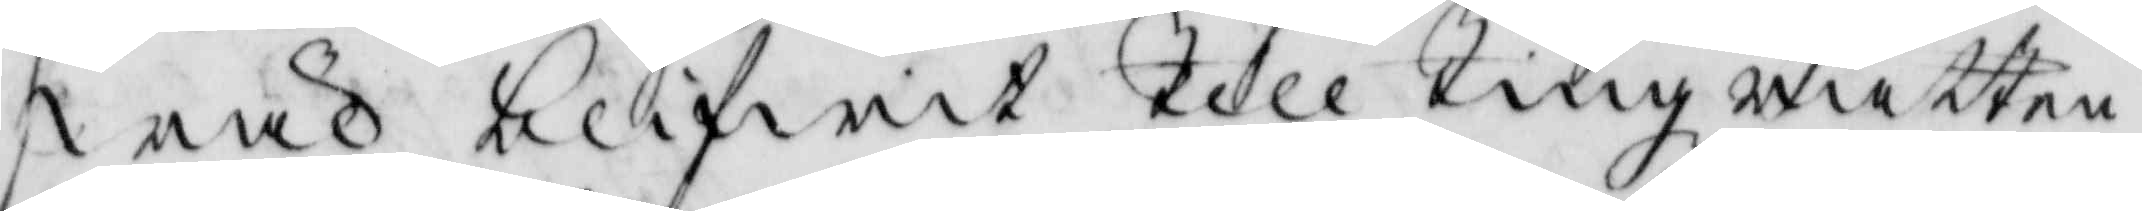wäl blifwit till Tingz rätten
